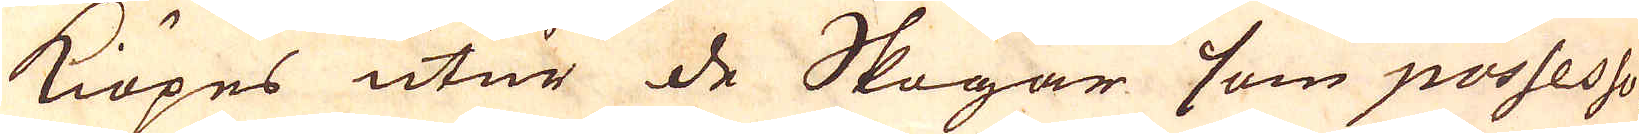kiöpes utur de Skogar som possesso-
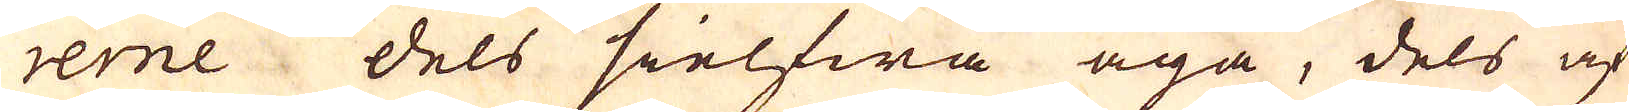rerne dels sielfwa äga, dels af
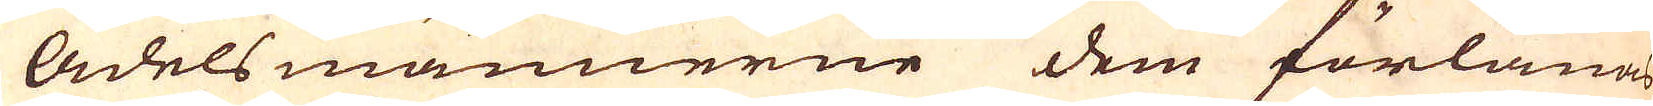Adelsmännerne dem förlänas
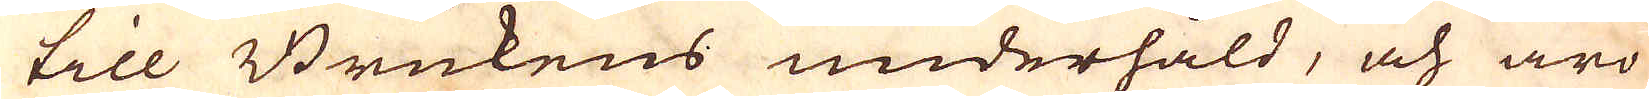till Brukens underhåld, och äro
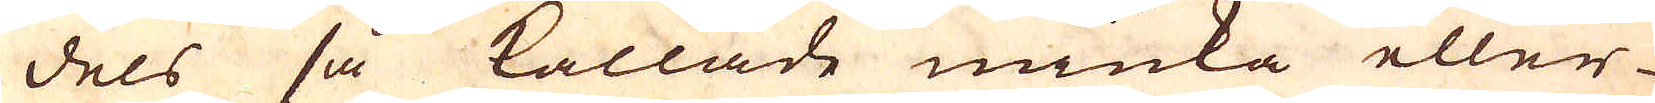dels så kallade miuka eller
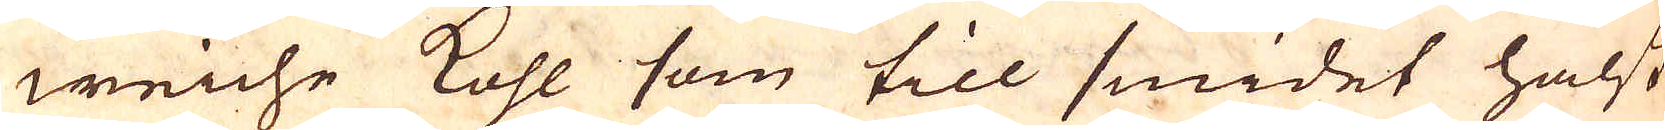weiche kohl som till smidet hälst
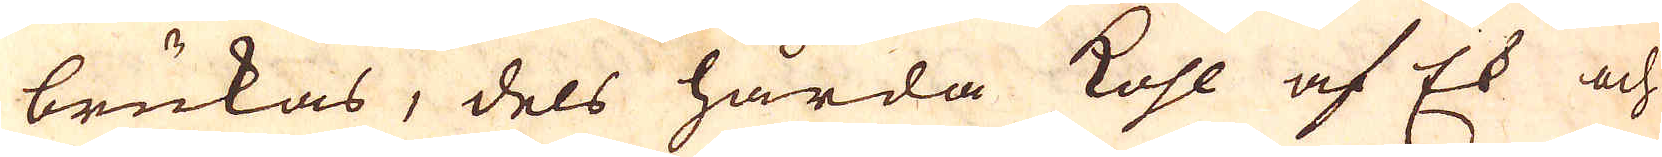brukas, dels hårda kohl af Ek och
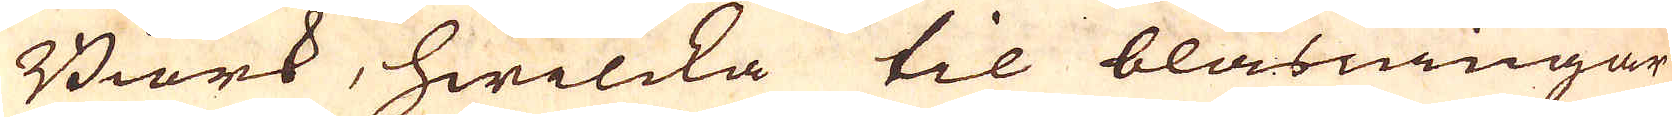Biörk, hwilcka til blåsningar
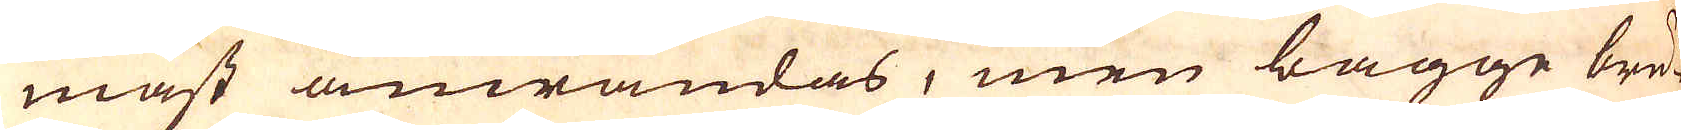måst anwändas, men bägge bru-
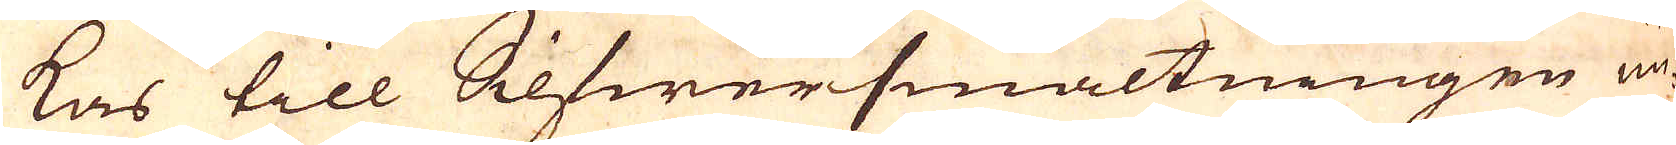kas till Silfwersmältningen un-
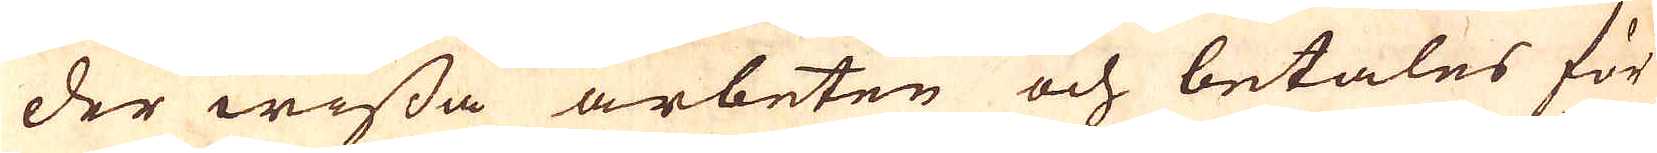der wissa arbeten och betales för
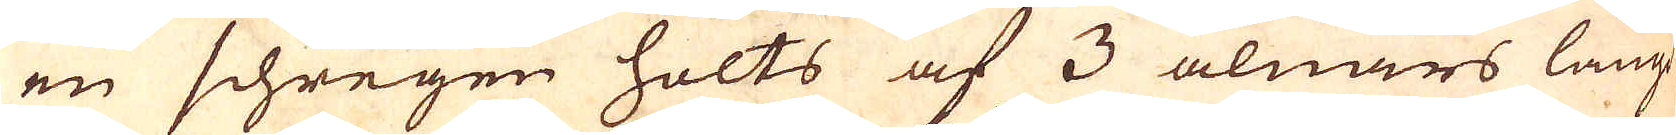en schregen holts af 3 alnars längd
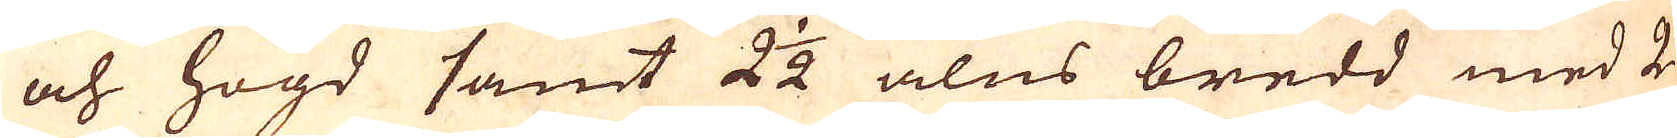och högd samt 2 1/2 alns bredd med 2
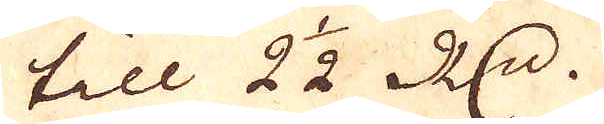till 2 1/2 R:dr.
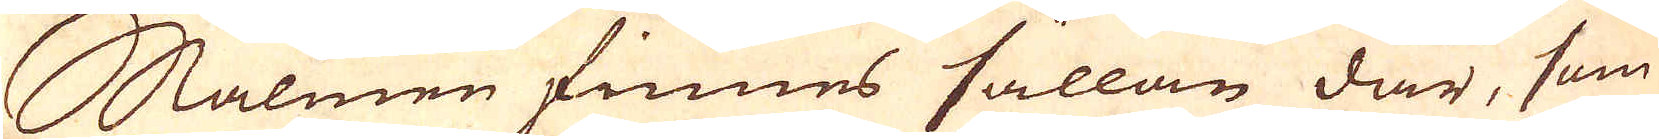Malmen finnes sällan där, som
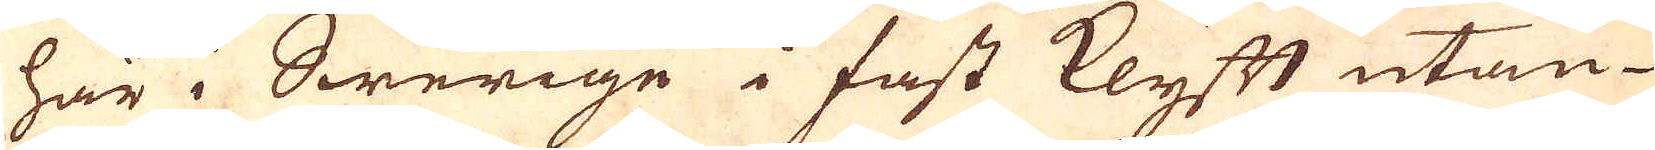här i Swerige i fast klyft utan
